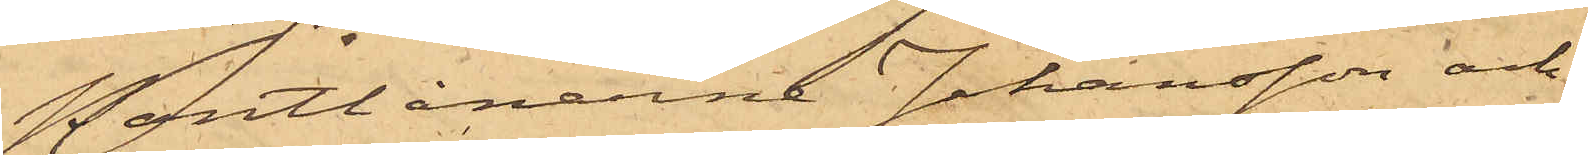Pantlånarne Johansson och
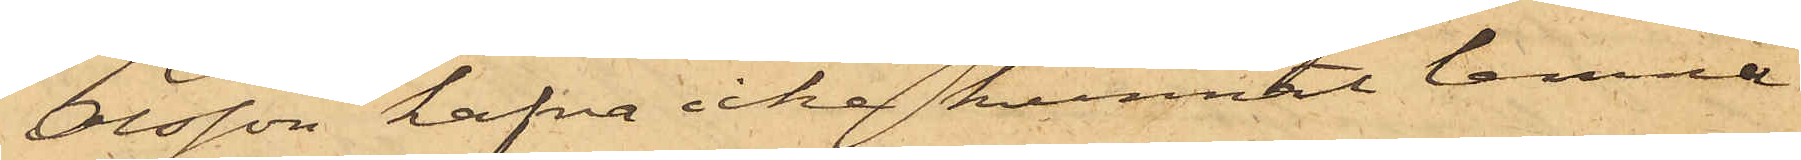Olsson hafva icke kunnat lemna
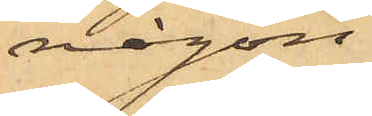någon
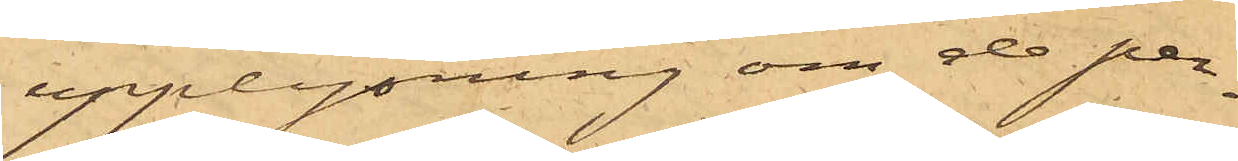upplysning om de per¬
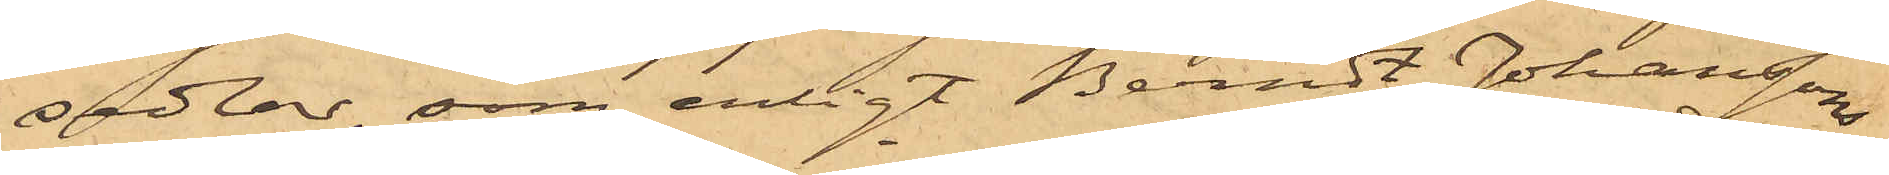sedlar, som enligt Berndt Johanssons
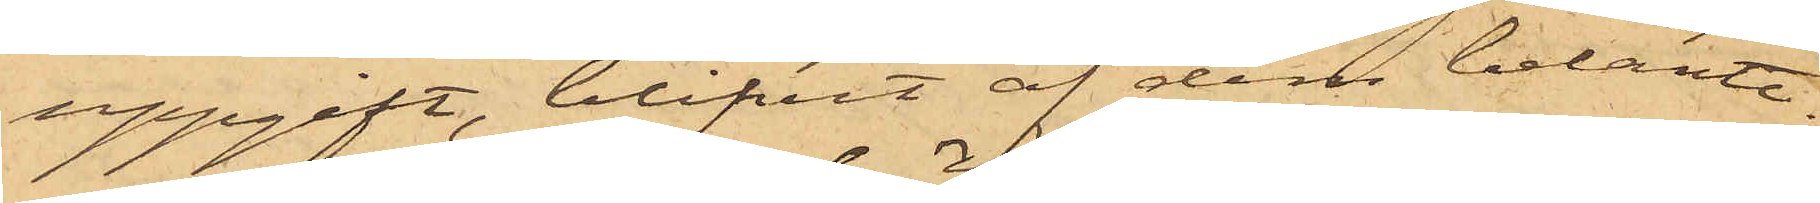uppgift, blifvit af dem belånte.
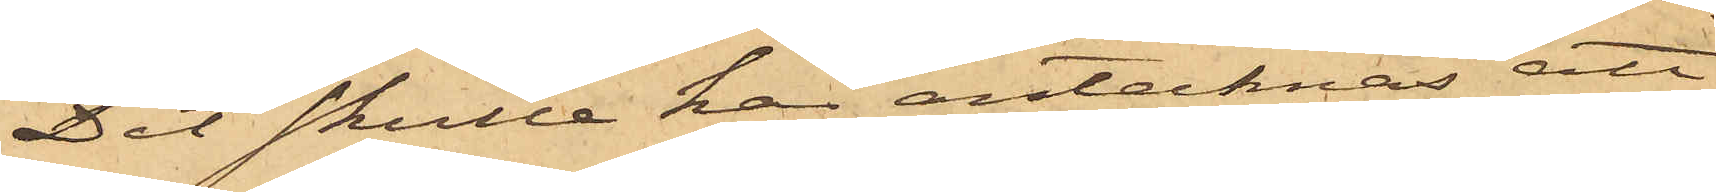Det skulle här antecknas, att
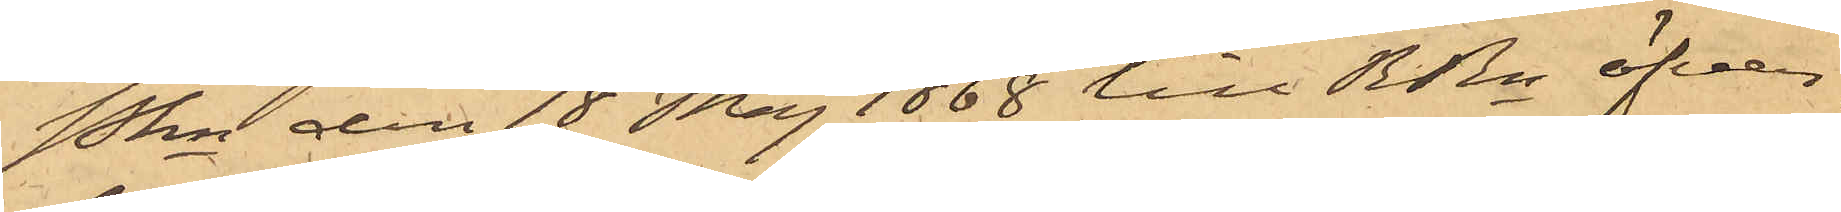Pkn den 18 Maj 1868 till RRn öfver¬
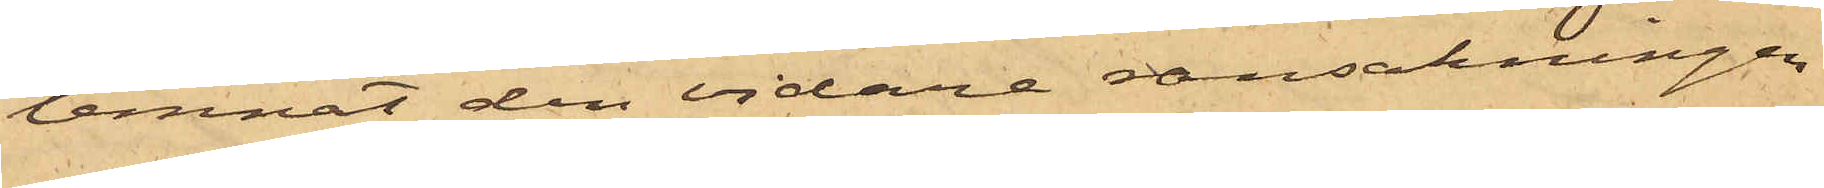lemnat den vidare ransakningen
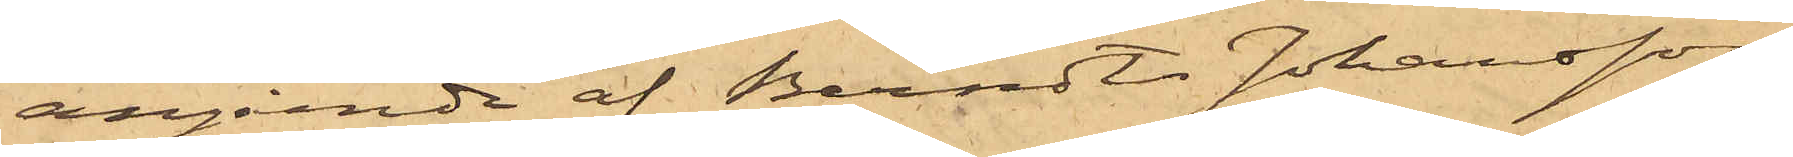angående af Berndts Johansson
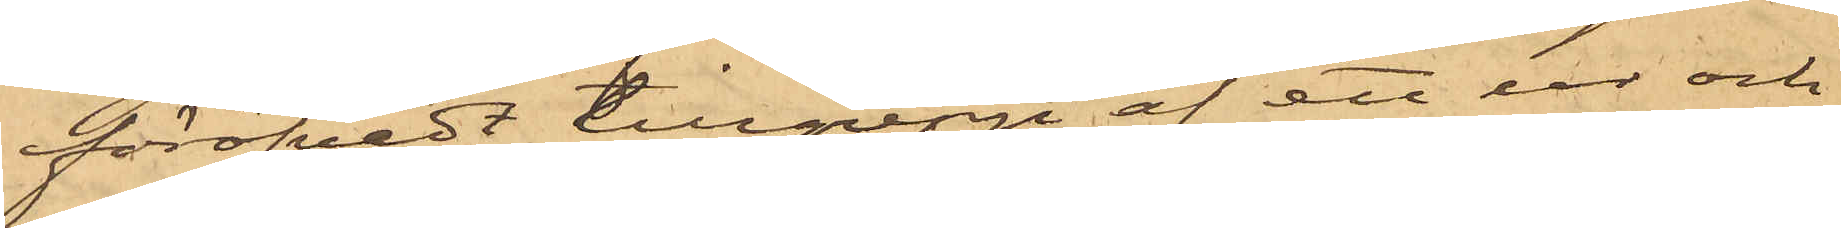föröfvadt tillgrepp af ett ur och
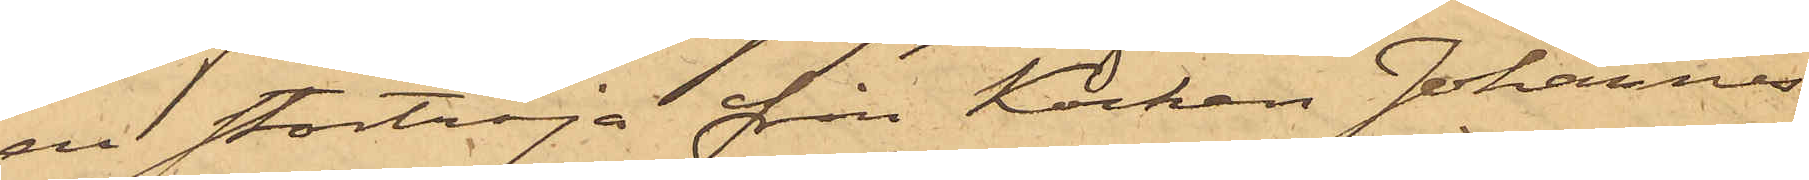en stortröja från Kocken Johannes
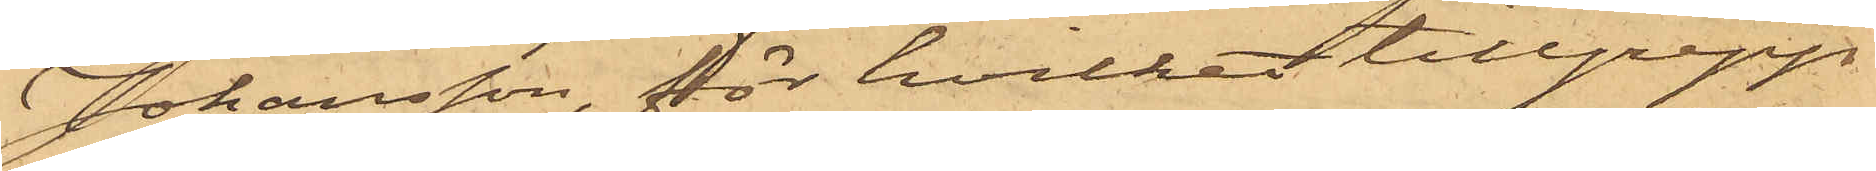Johansson, för hvilket tillgrepp
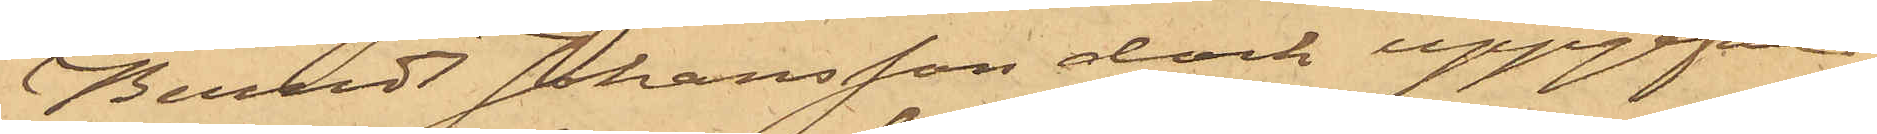Berndt Johansson dock uppgifvit
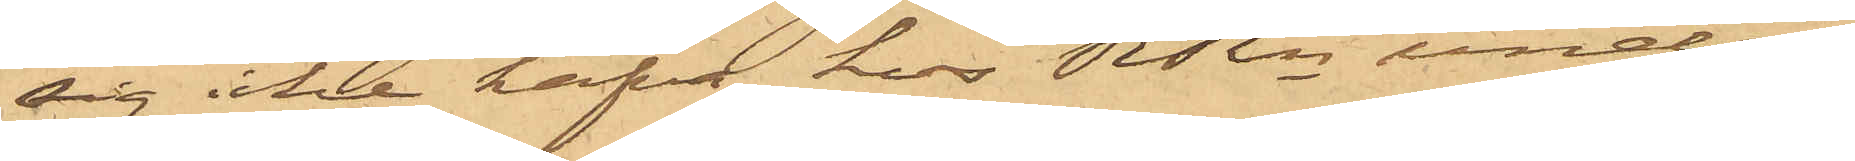sig icke hafva hos RRn under¬
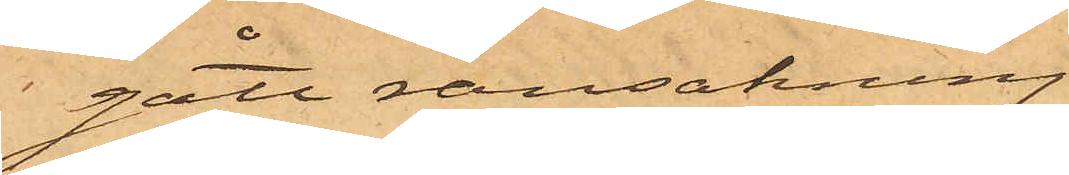gått ransakning.
